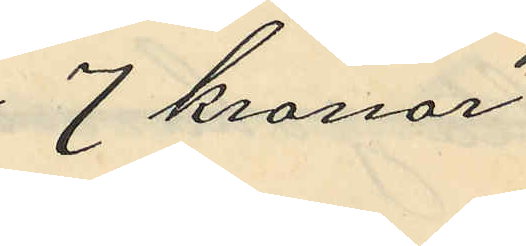7 kronor
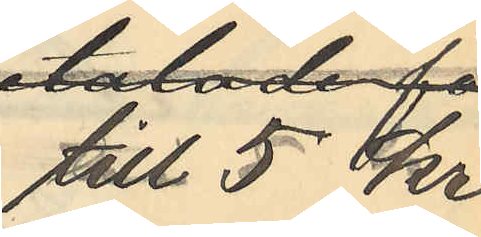till 5 kr
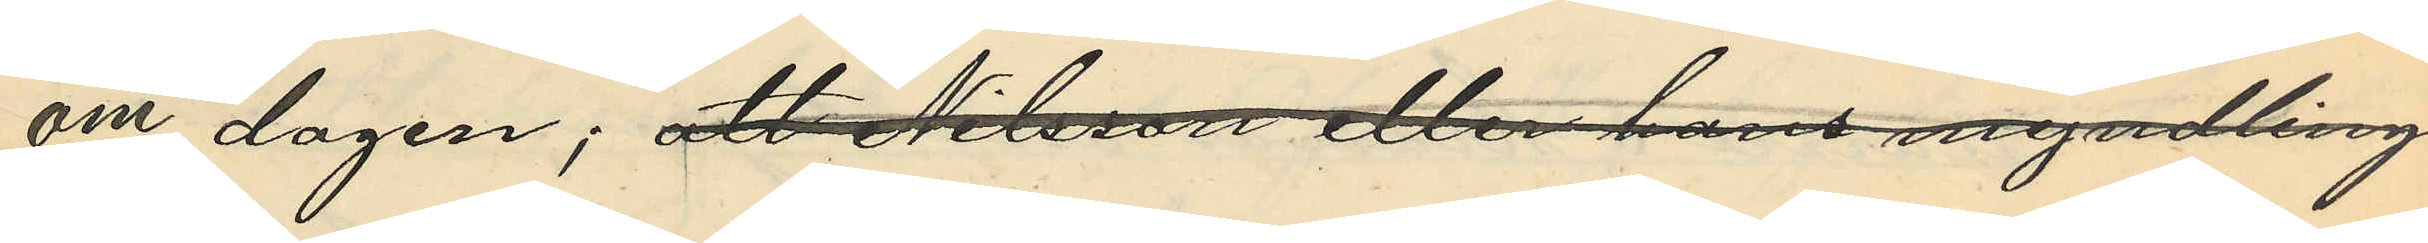om dagen; att Nilsson eller hans myndling
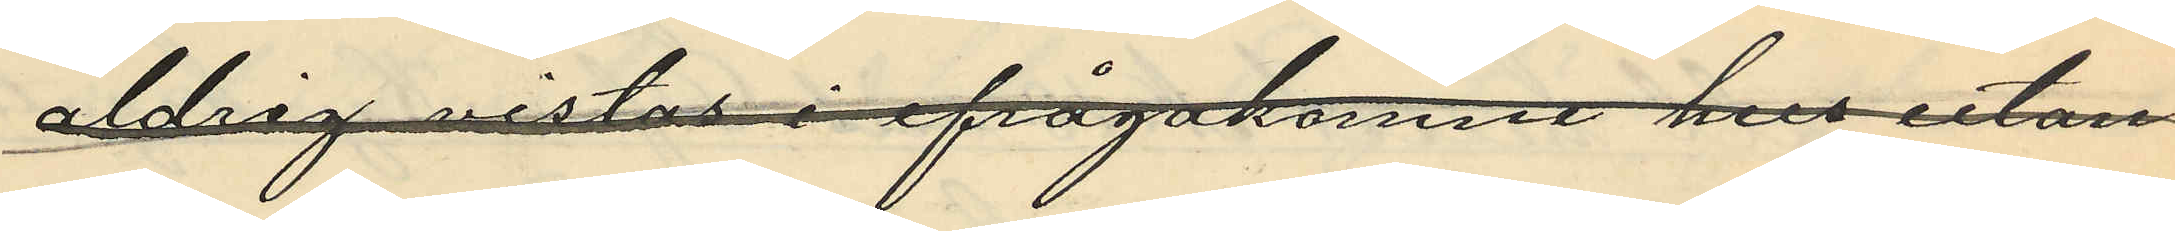aldrig vistas i ifrågakomne hus utan
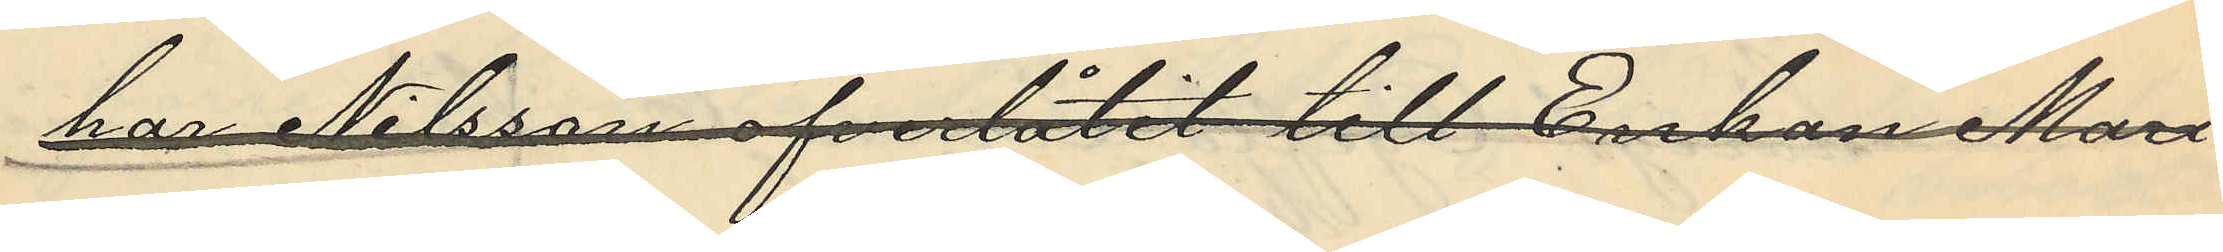har Nilsson öfverlåtit till Enkan Mari¬
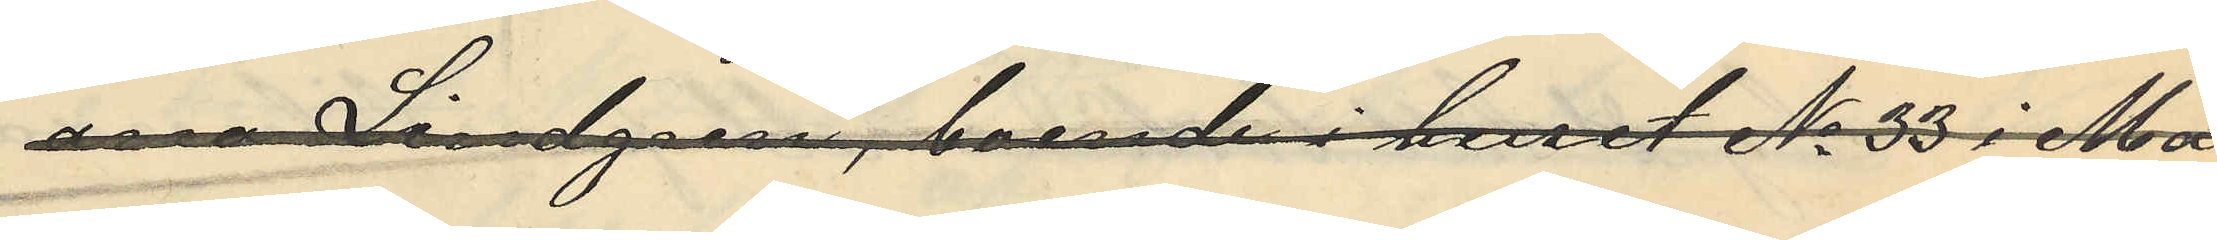anne Lindgren, boende i huset No 33 i Ma¬
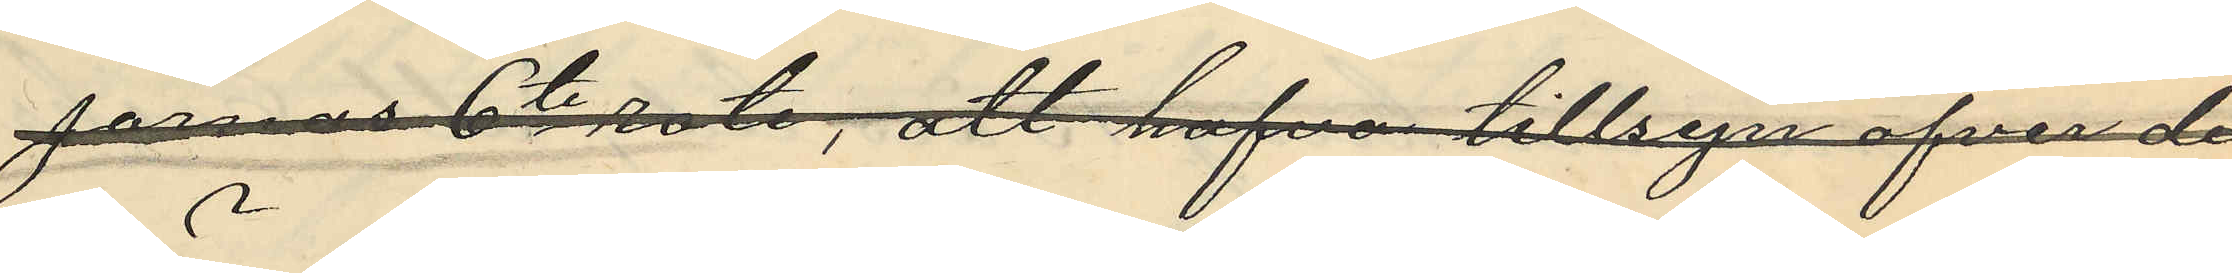jornas 6te rote, att hafva tillsyn öfver de
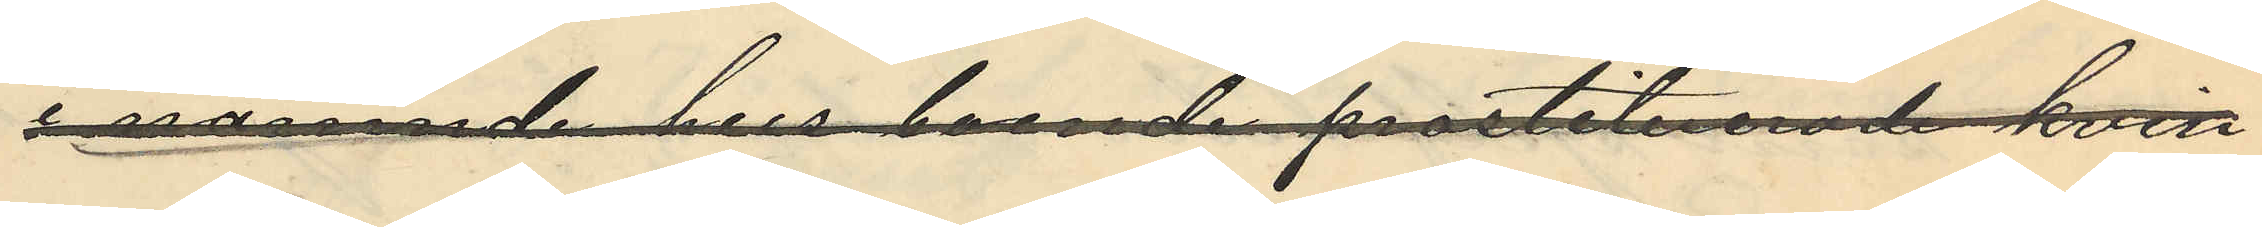i nämnde hus boende prostituerade kvin¬
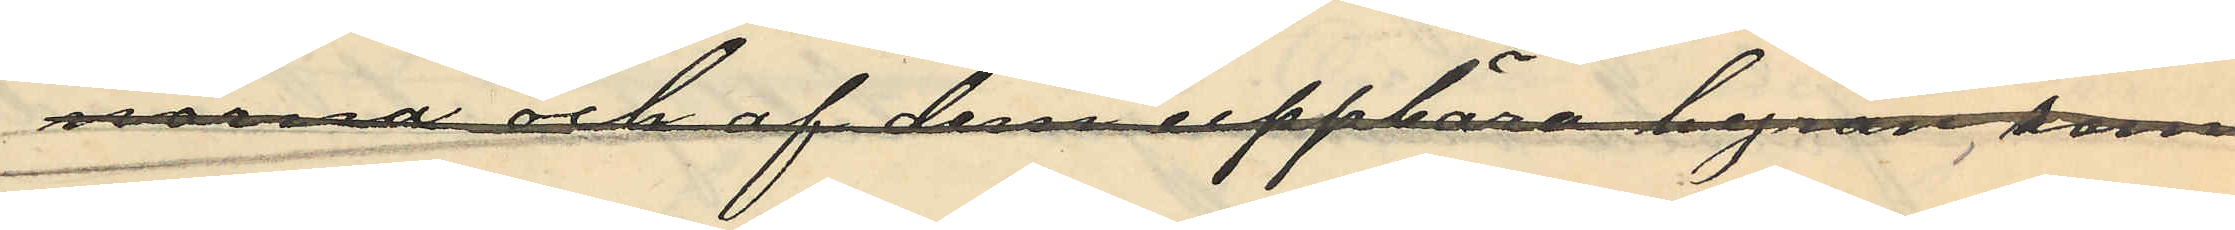norna och af dem uppbära hyror, som
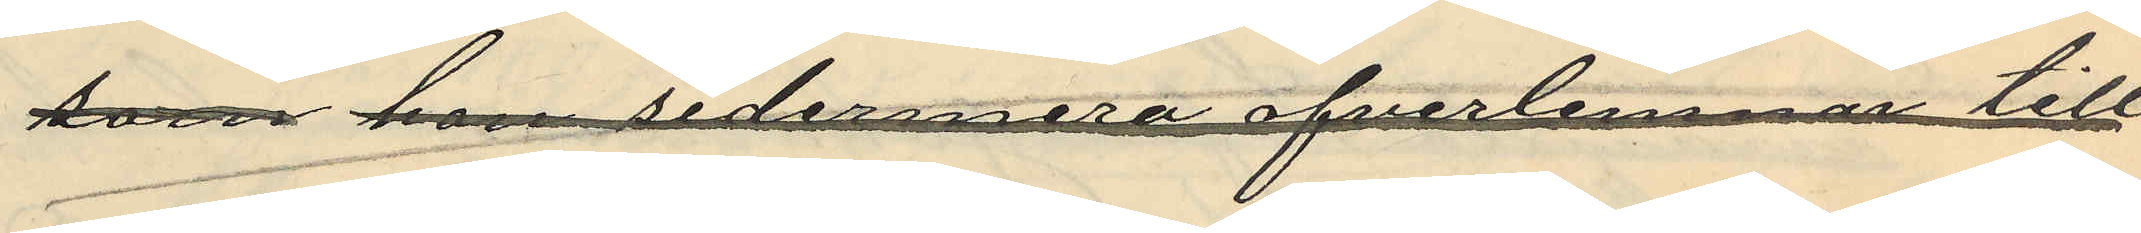som hon sedermera öfverlemnar till
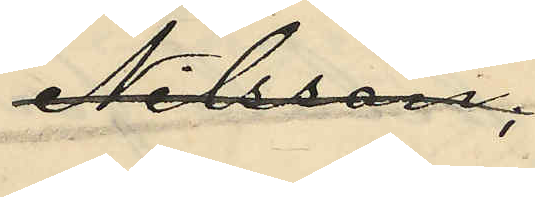Nilsson;
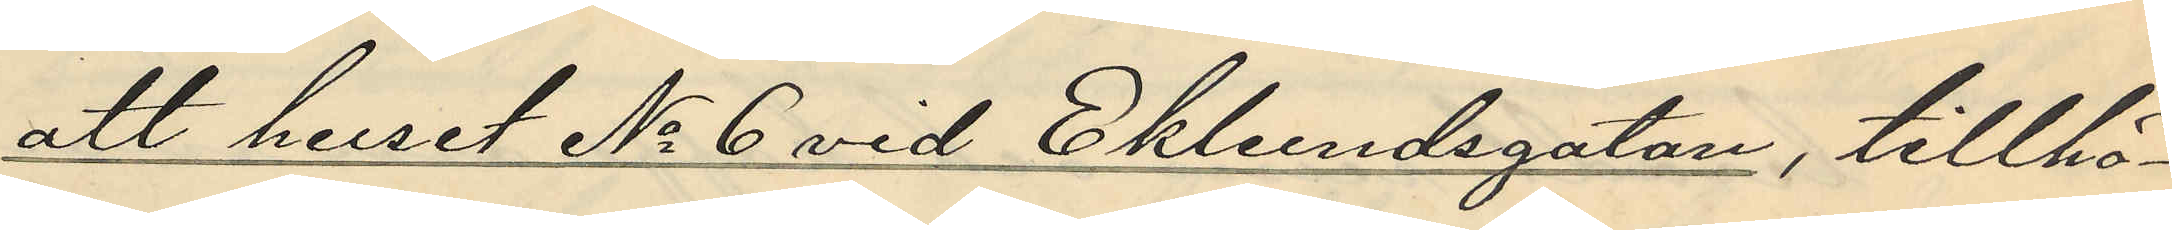att huset No 6 vid Ekelundsgatan, tillhö¬
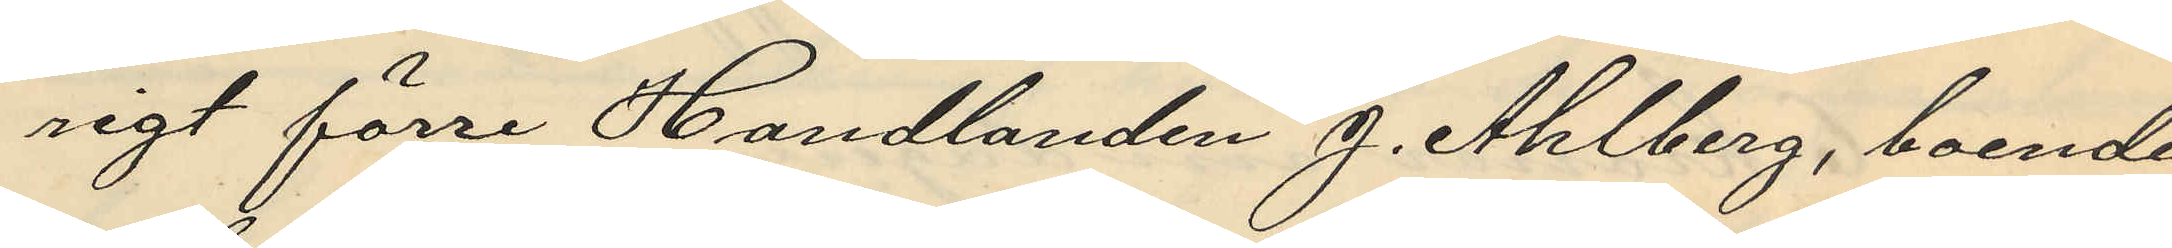rigt förre Handlanden J. Ahlberg, boende
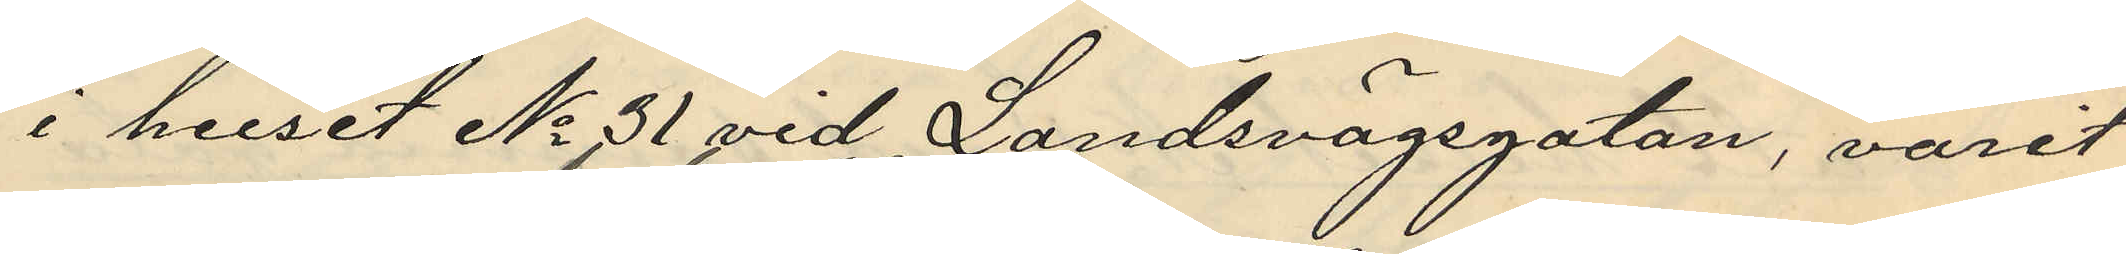i huset No 31 vid Landsvägsgatan, varit
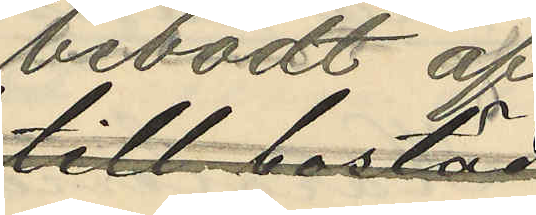bebodt af
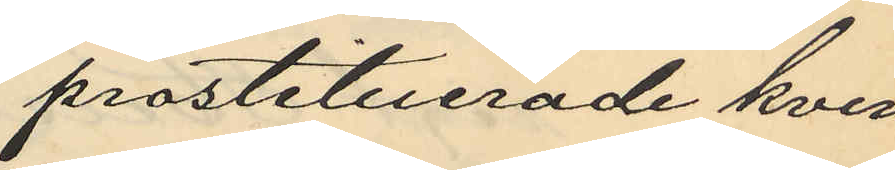prostituerade kvin¬
